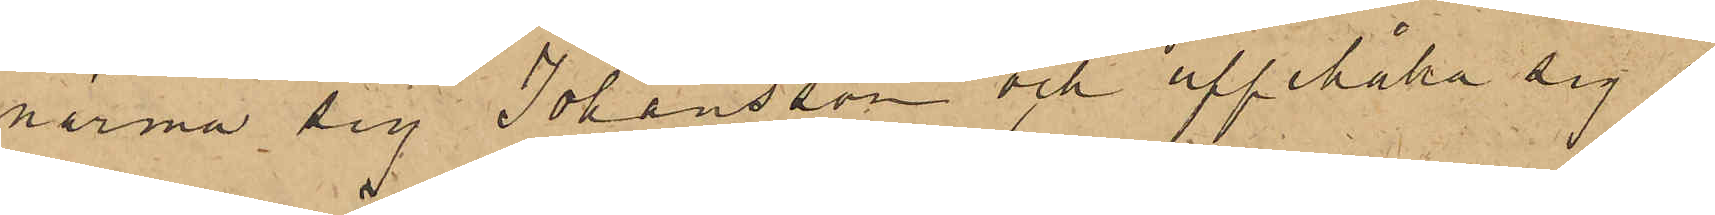närma sig Johansson och uppehålla sig i
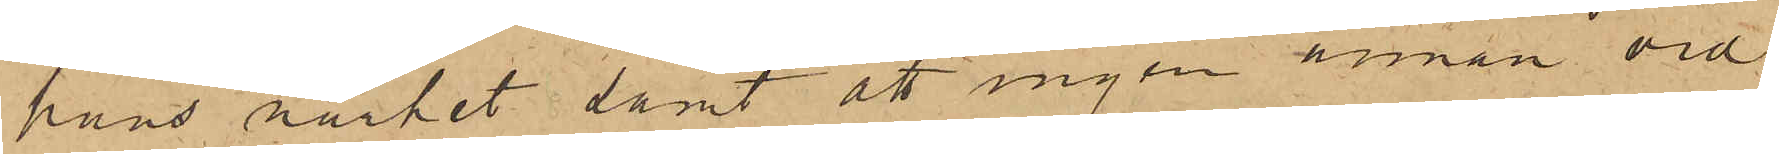hans närhet samt att ingen annan vid
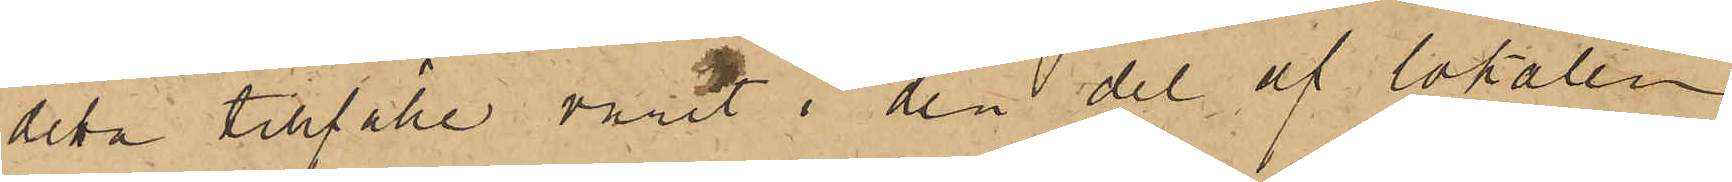detta tillfälle varit i den del af lokalen
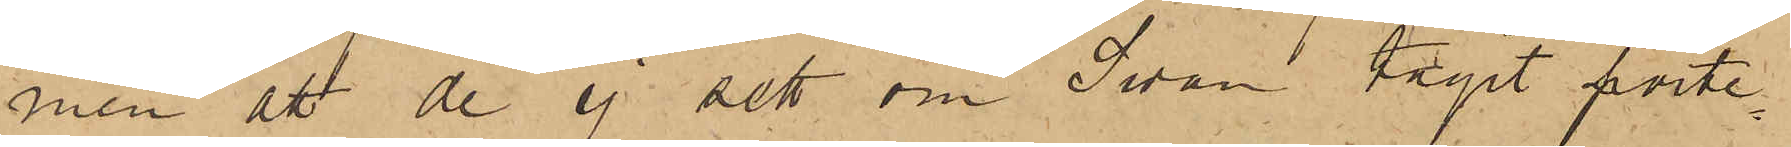men att de ej sett om Swan tagit porte¬
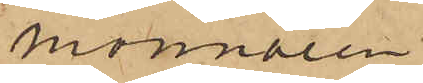monnaien
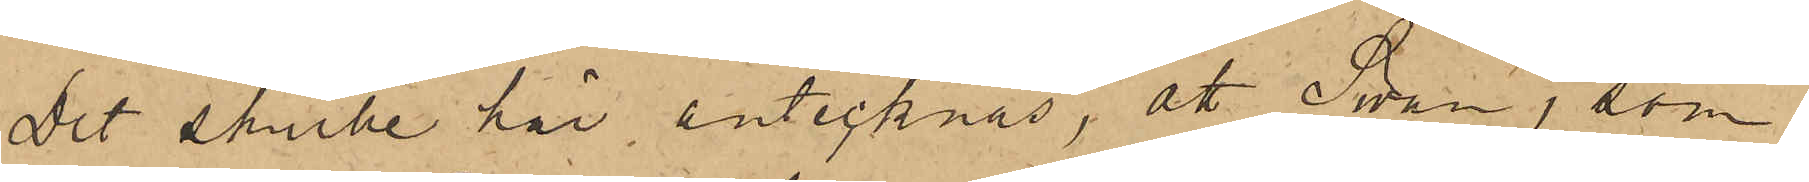Det skulle här antecknas, att Swan, som
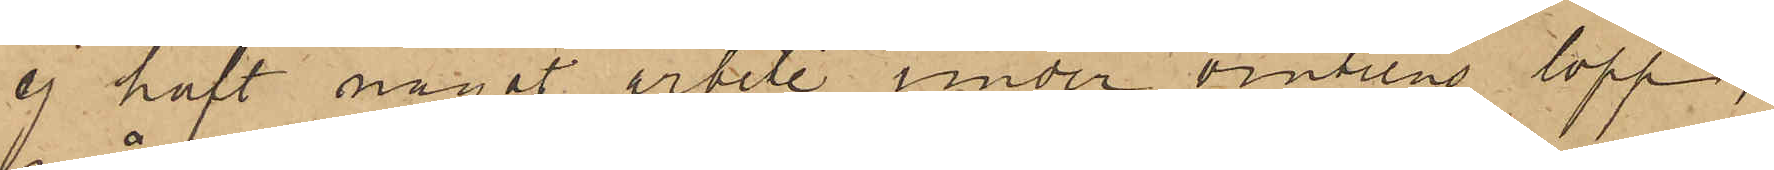ej haft något arbete under vinterns lopp,
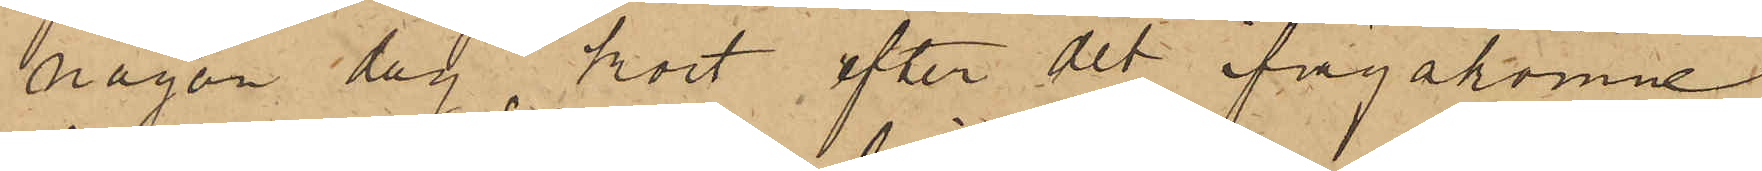någon dag, kort efter det ifrågakomne
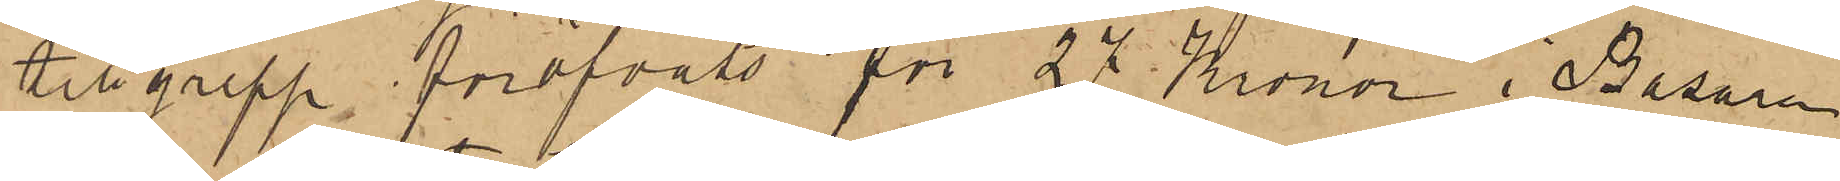tillgrepp föröfvats för 27 Kronor i Bazaren
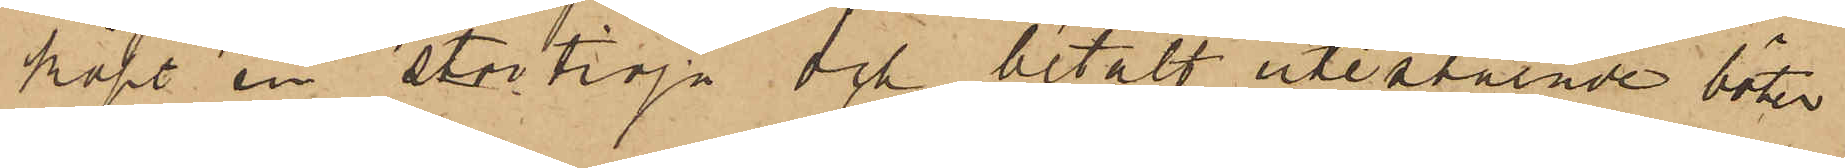köpt en stortröja och betalt utestående böter
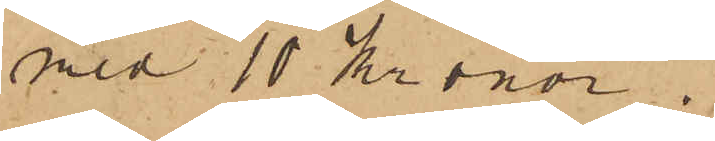med 10 Kronor.
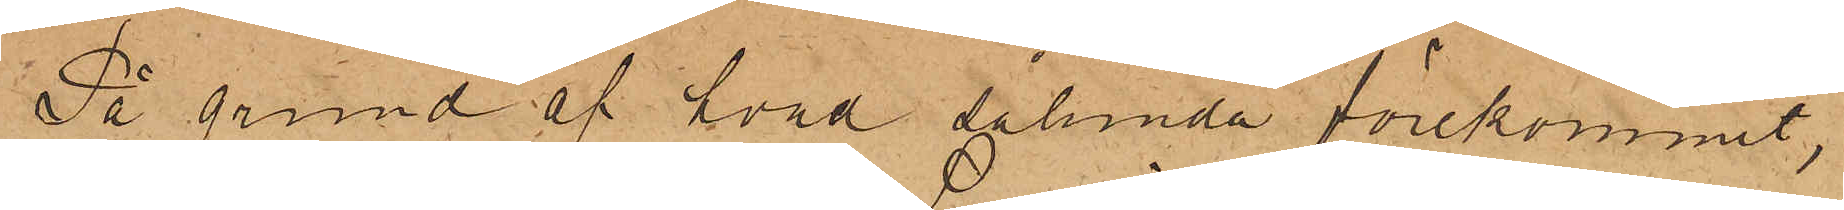På grund af hvad sålunda förekommit,
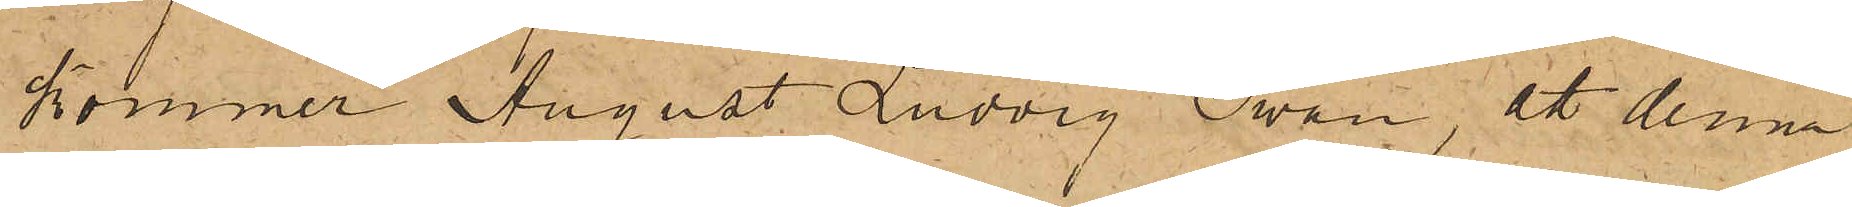kommer August Ludvig Swan, att denna
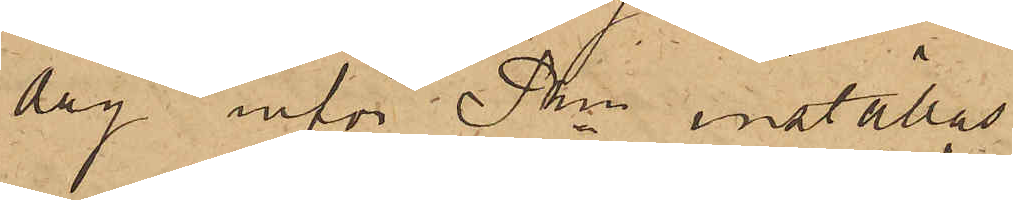dag inför Pkn inställas.
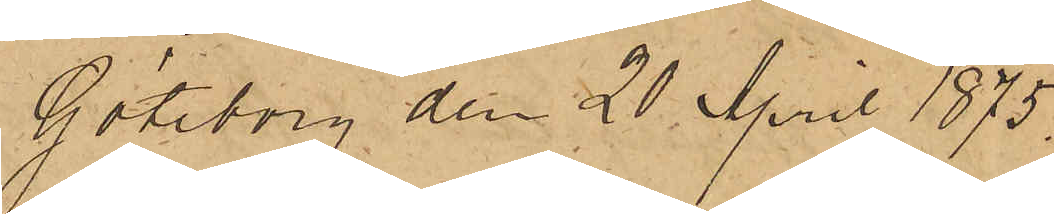Göteborg den 20 April 1875.
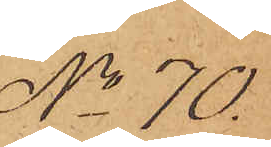No 70
